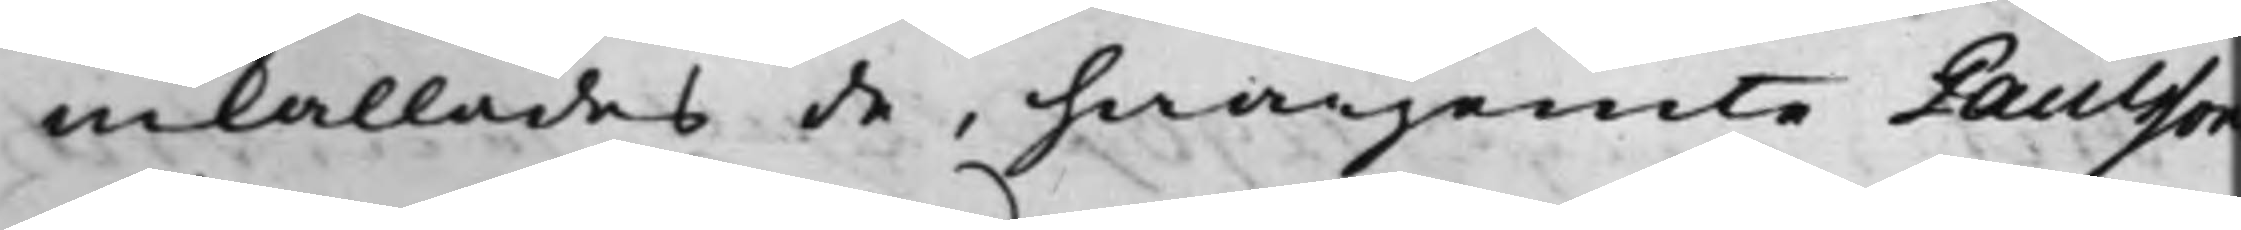inkallades de, hwarjemte Paulsson
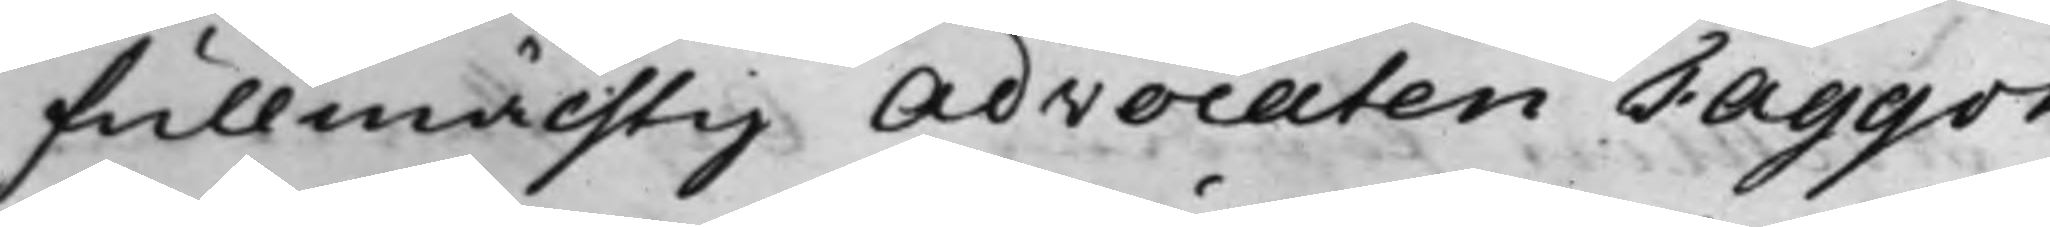fullmächtig Advocaten Faggot
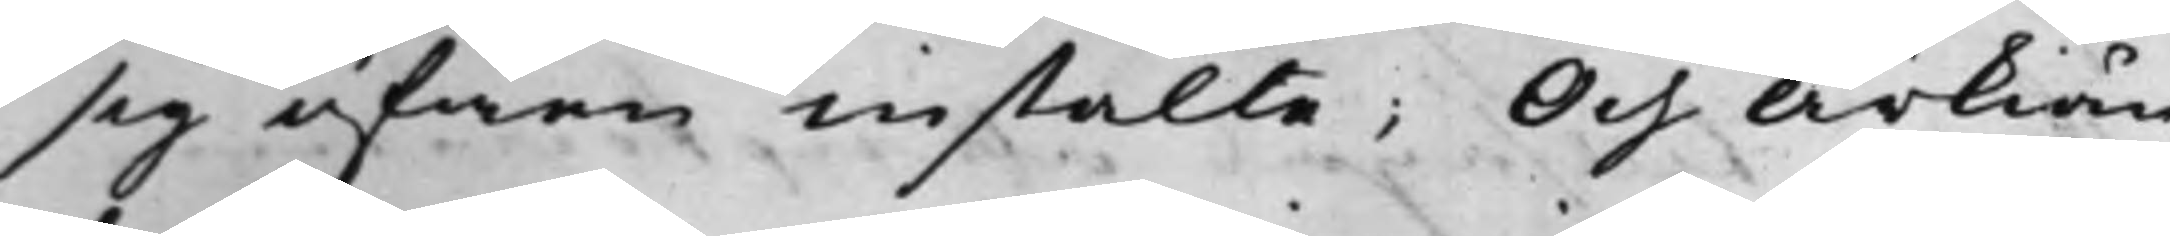sig äfwen instälte; Och Ärkiän¬
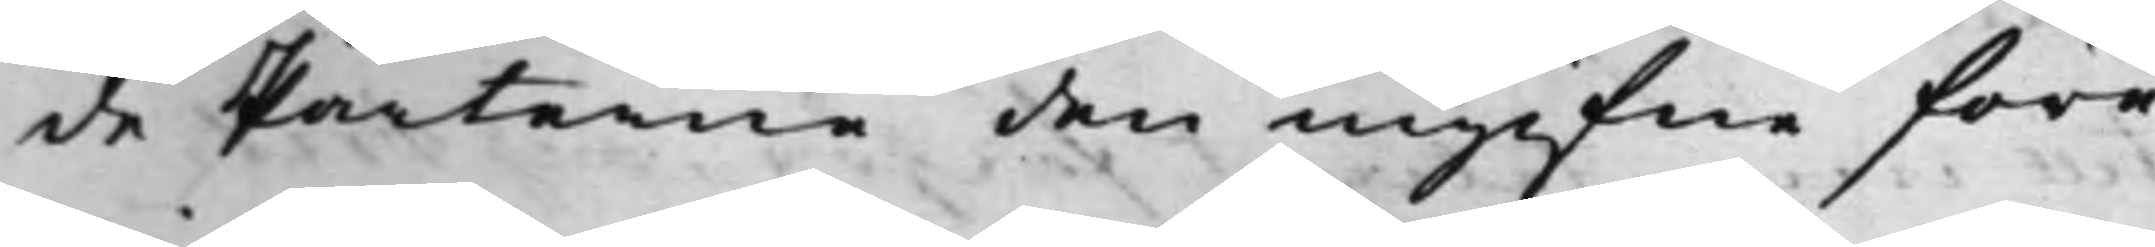de Parterne den ingifne före¬
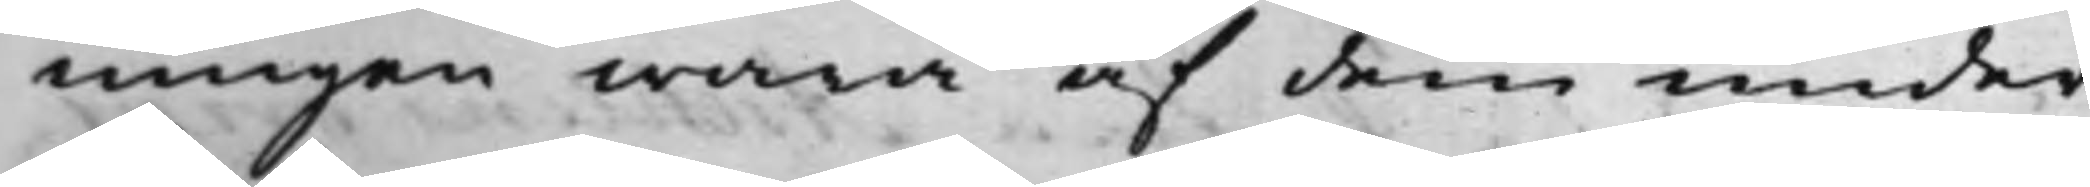ningen wara af dem under¬
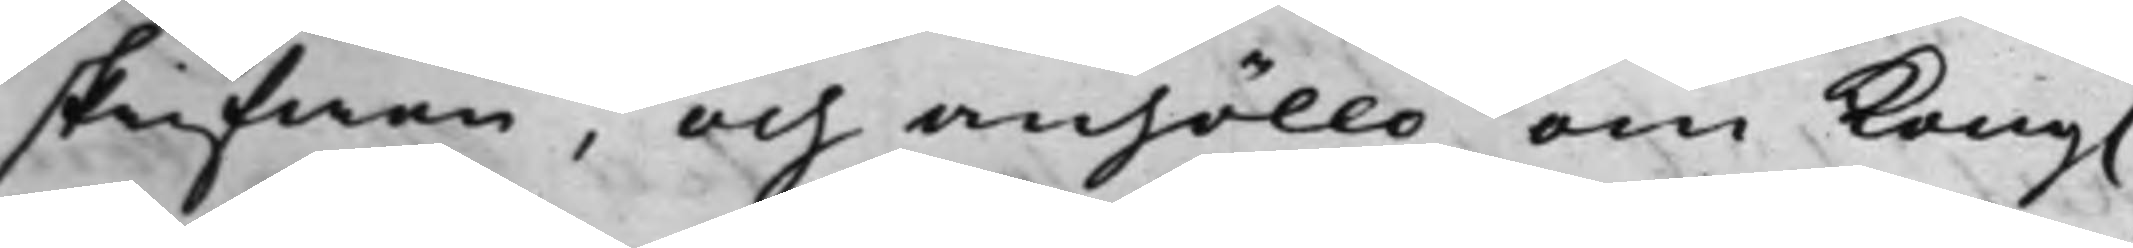skrifwen, och anhöllo om Kong. 
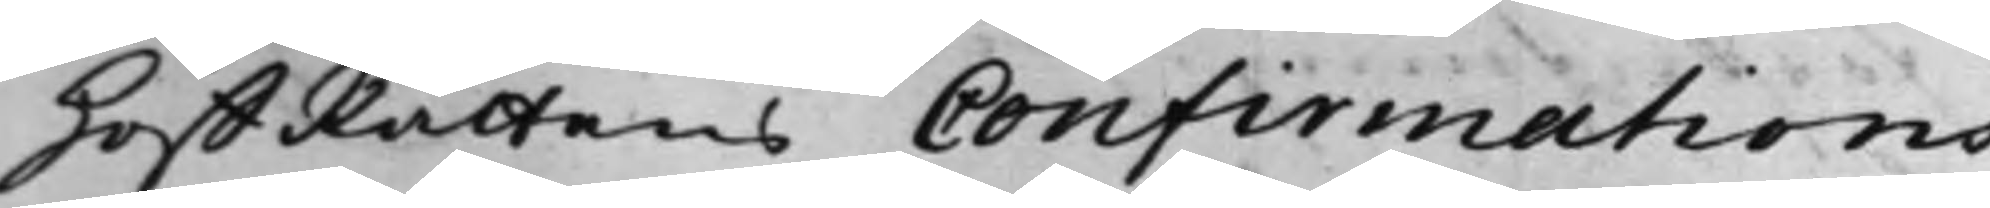HoffRättens Confirmations¬
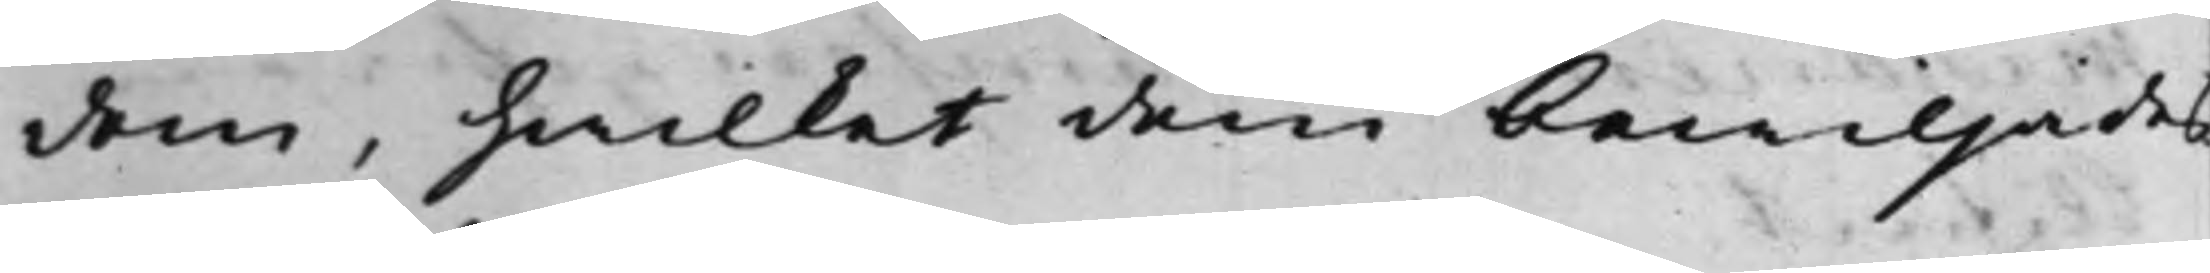dom, hwilket dem bewiljades
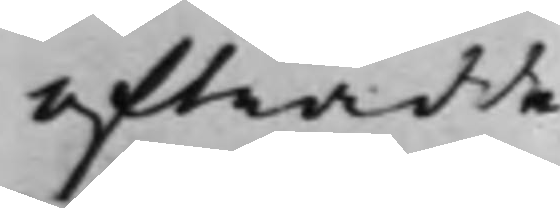afträdde.
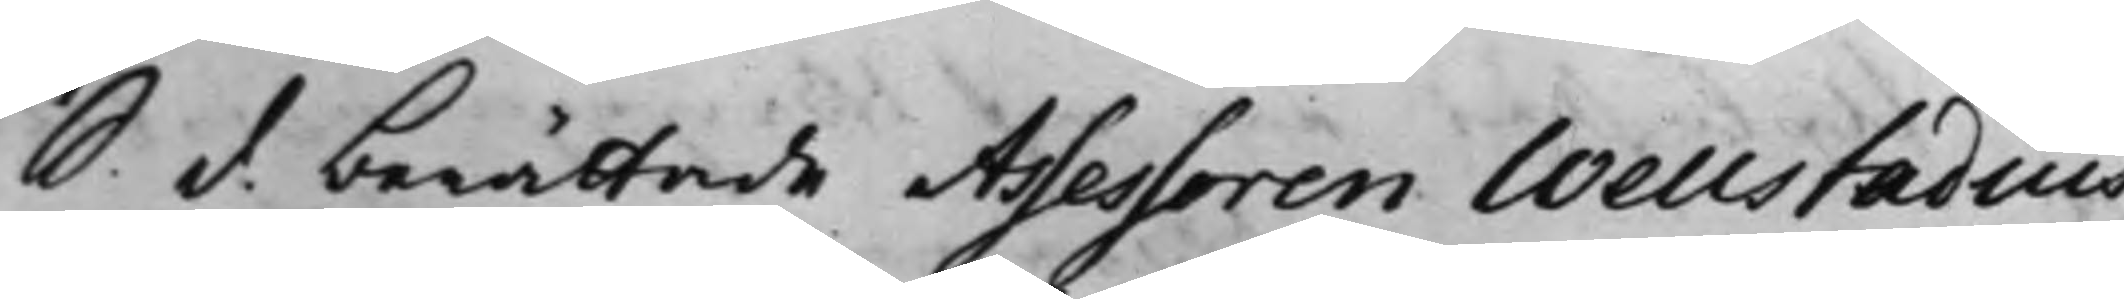S. d. berättade Assessoren Welstadius
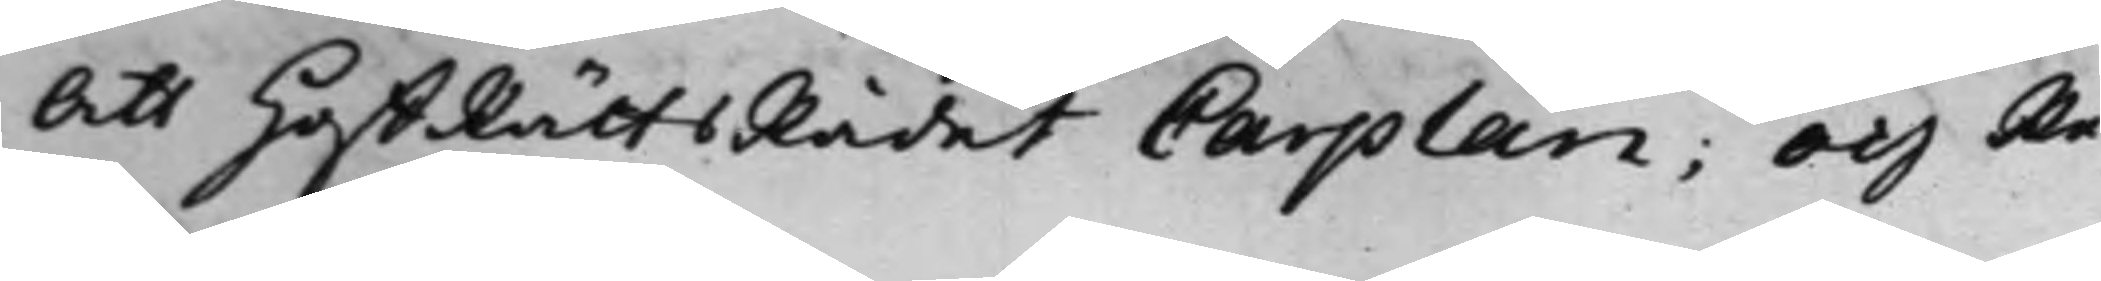Att HoffRättsRådet Carplan; Och Re¬
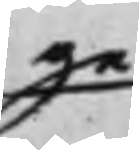ge
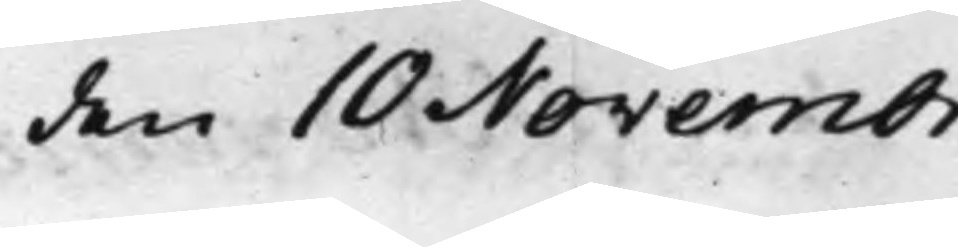den 10 Novembr.
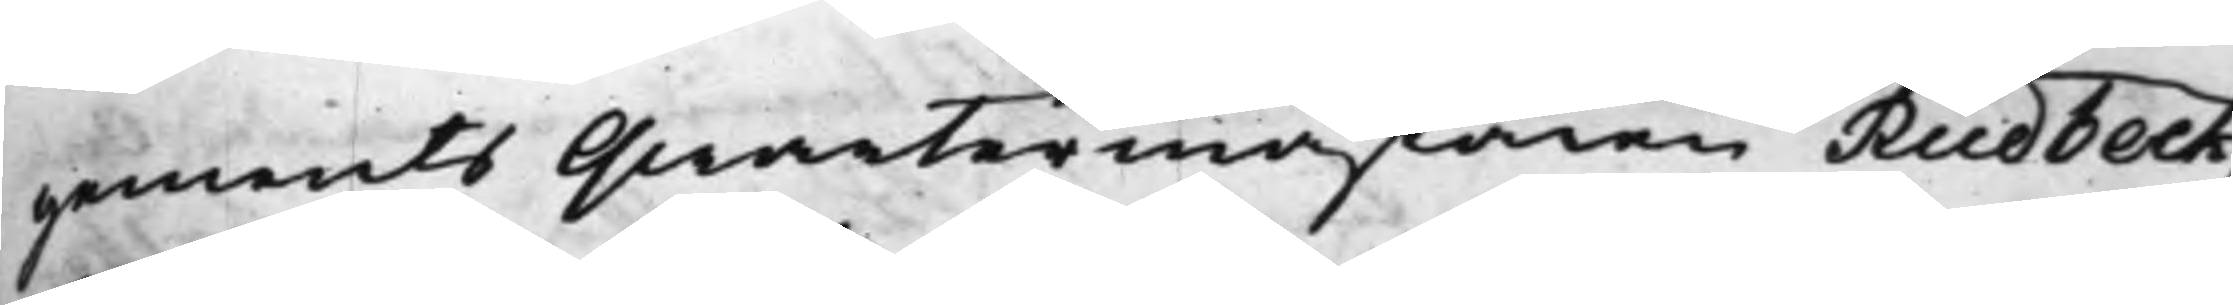gements Qwartermästaren Rudbeck
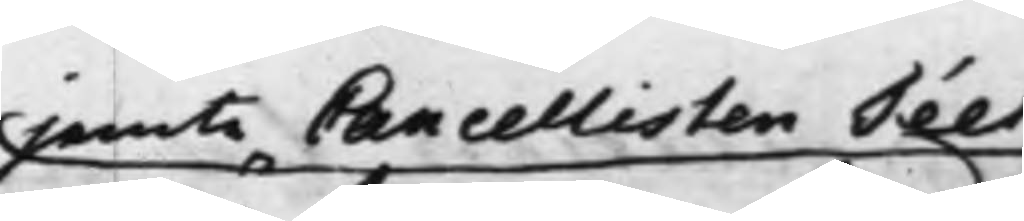jemte Cancellisten Téet
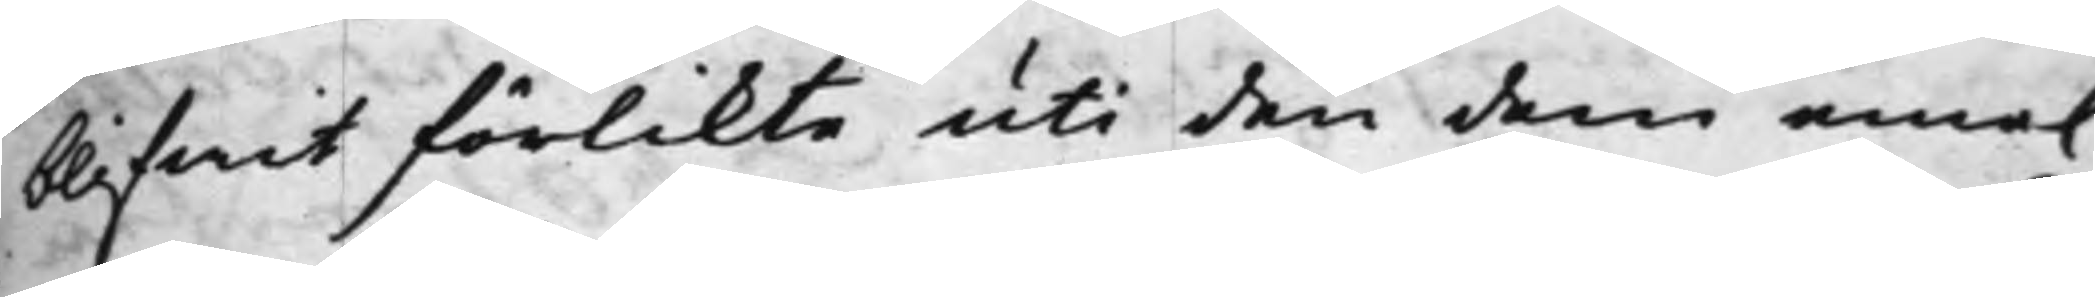blifwit förlikte uti den dem eme.
